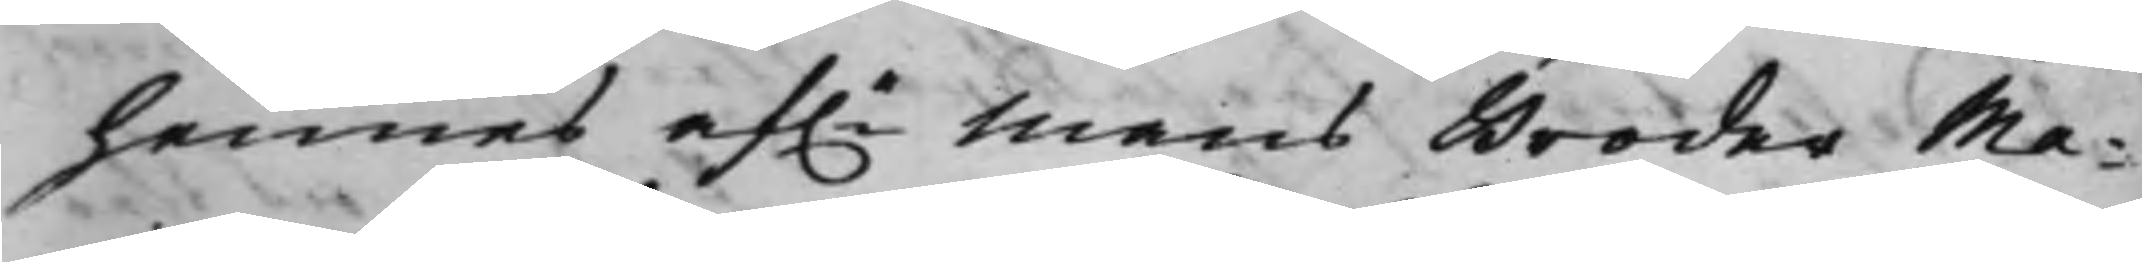hennes af.e Mans Broder Ma¬
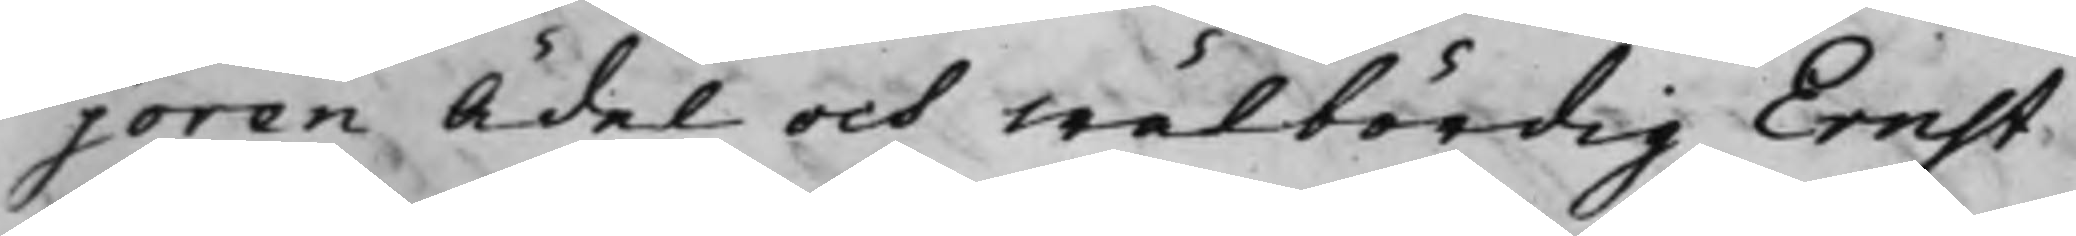joren Ädel och Wälbördig Ernst
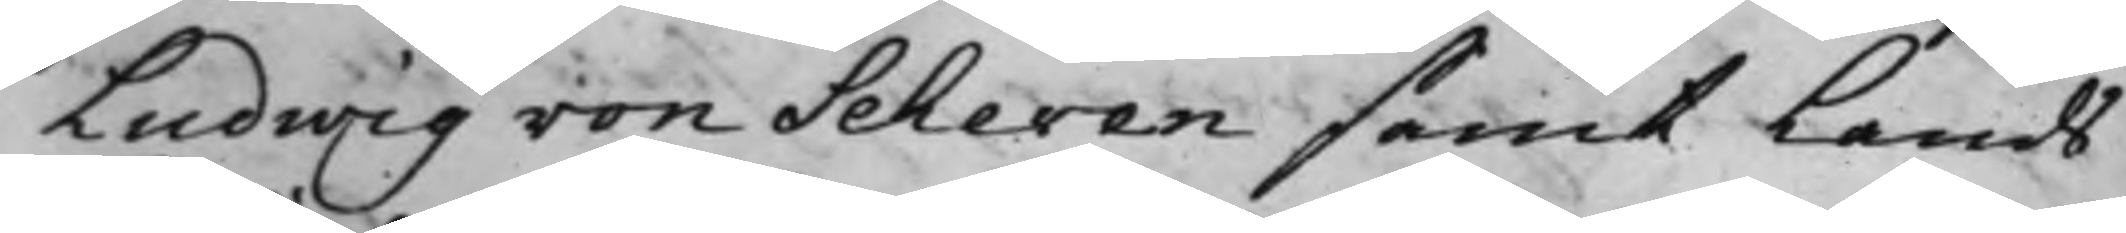Ludwig von Scheven samt Lands¬
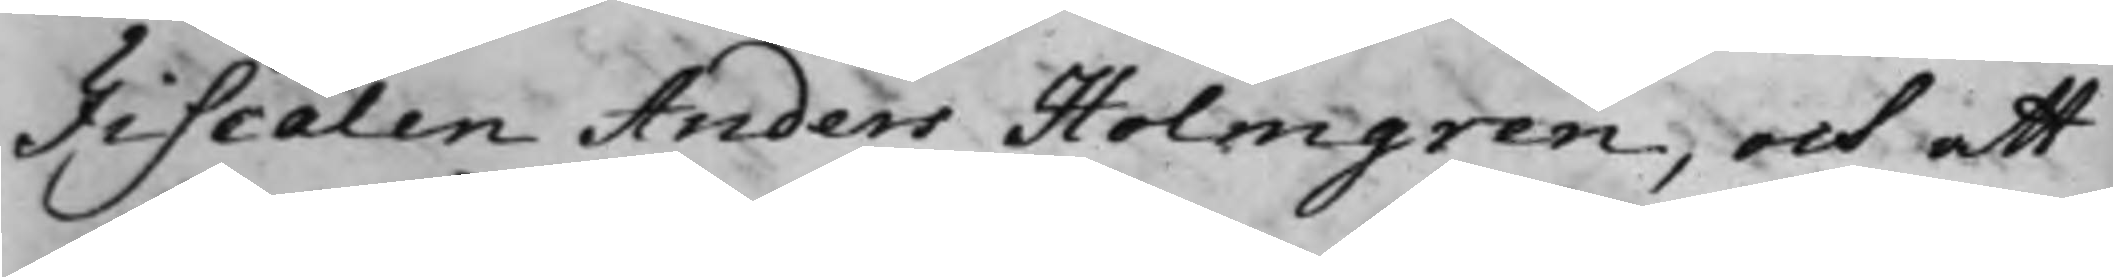Fiscalen Anders Holmgren, och att
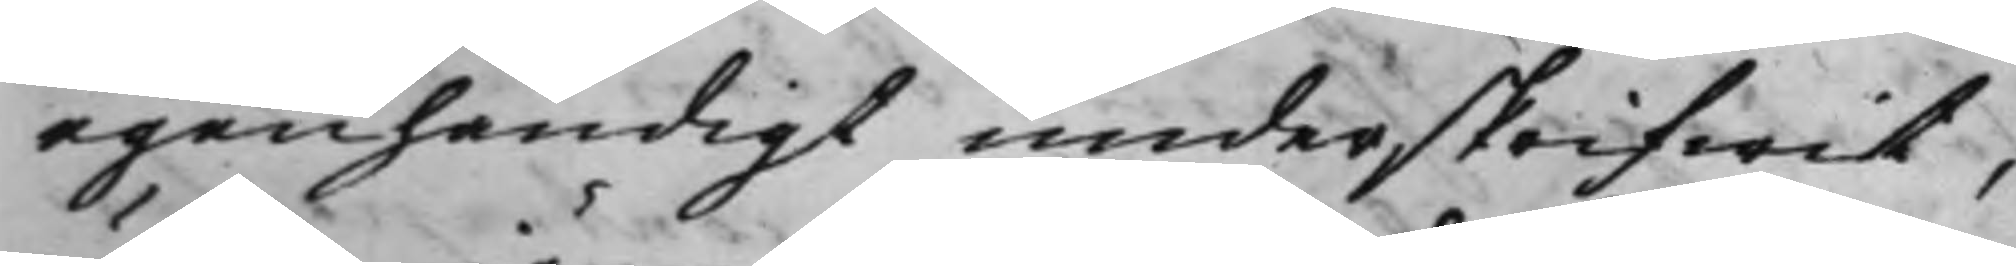egenhändigt underskrifwit,
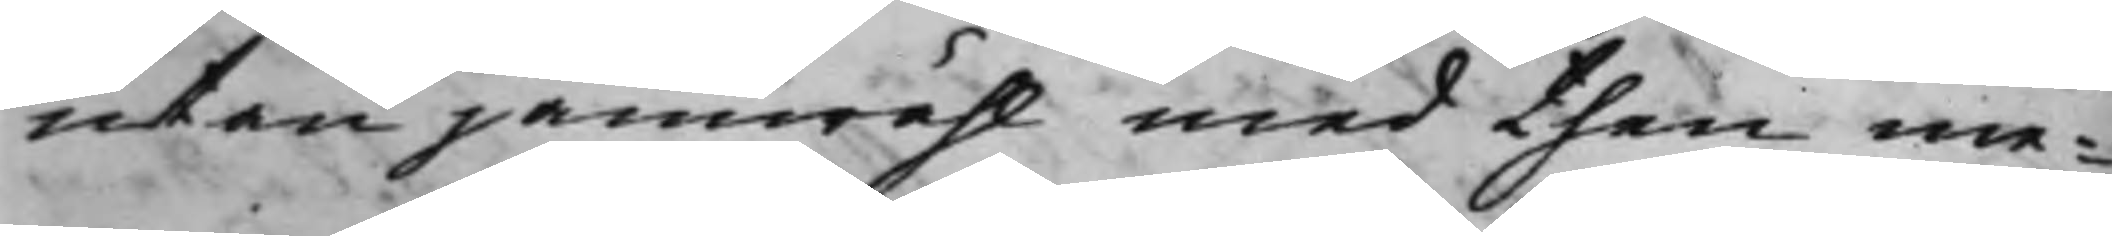utan jämwähl med then me¬
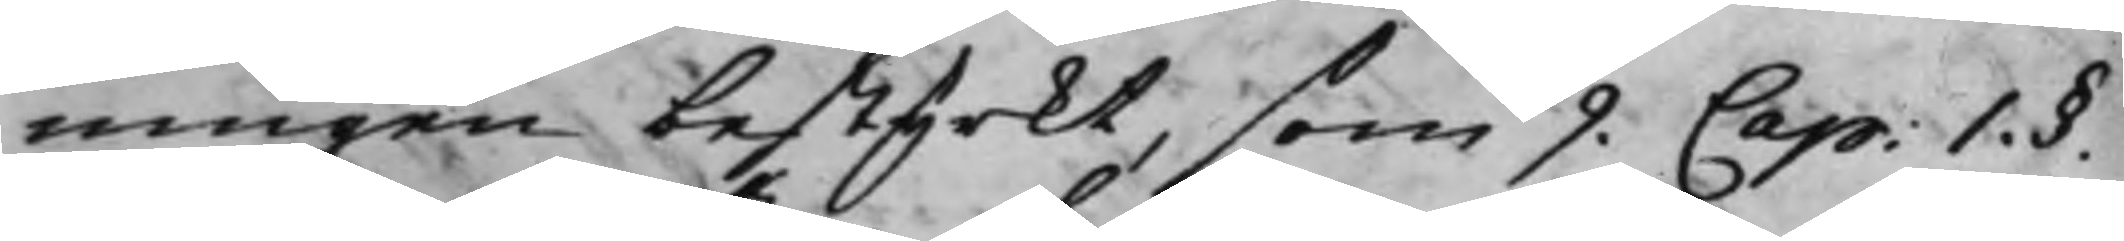ningen bestyrkt, som 9 Cap: 1. §.
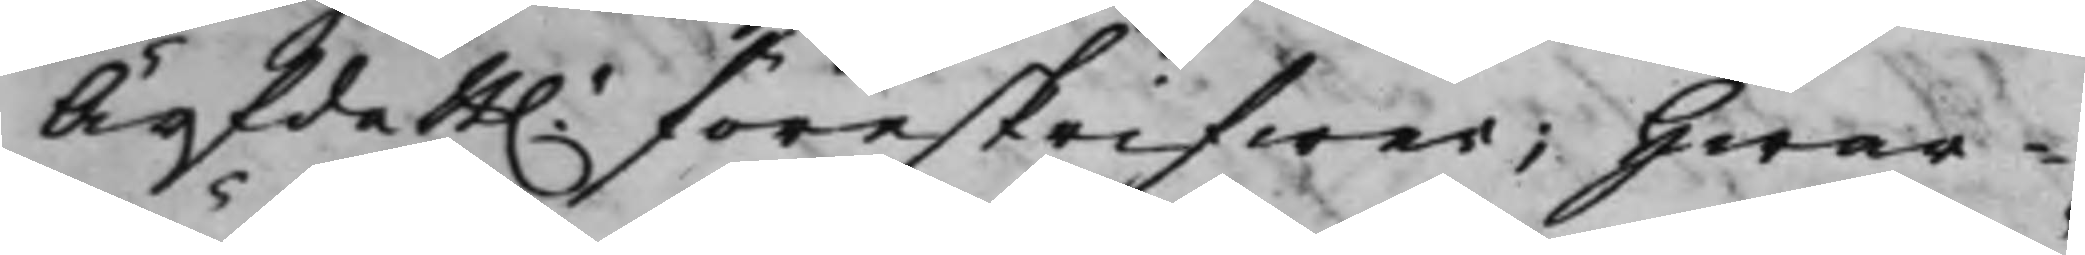Ärfda B. föreskrifwer; Hwar¬
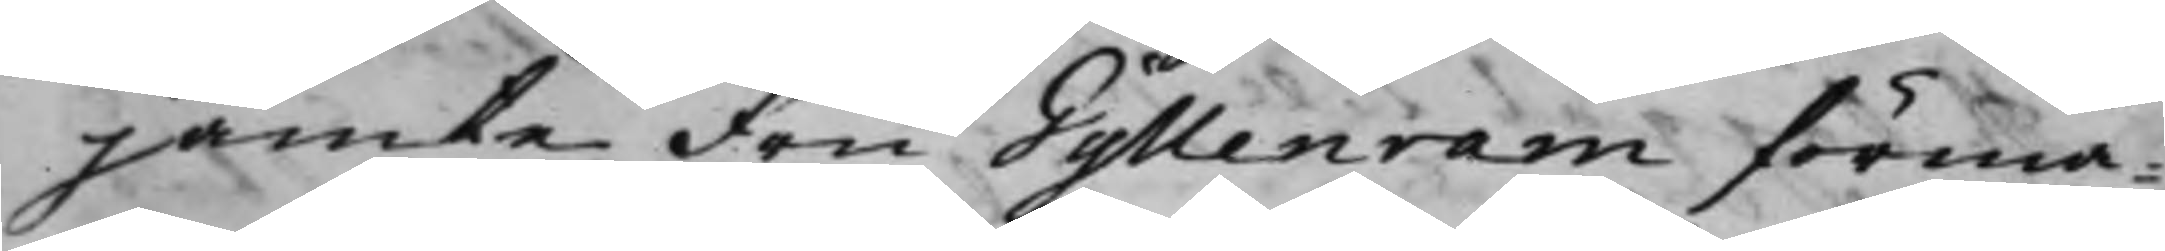jämte Fru Gyllenram förmä¬
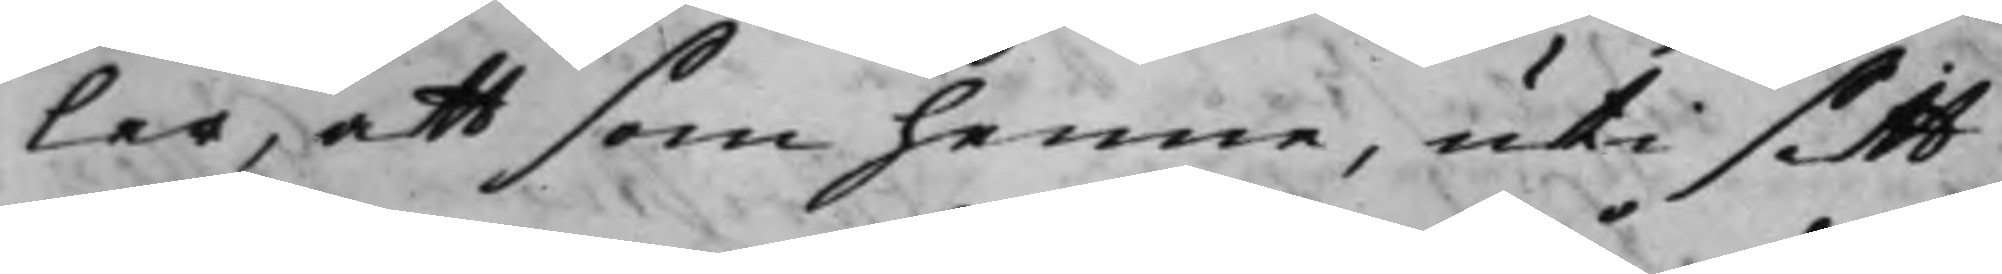ler, att som henne, uti sitt
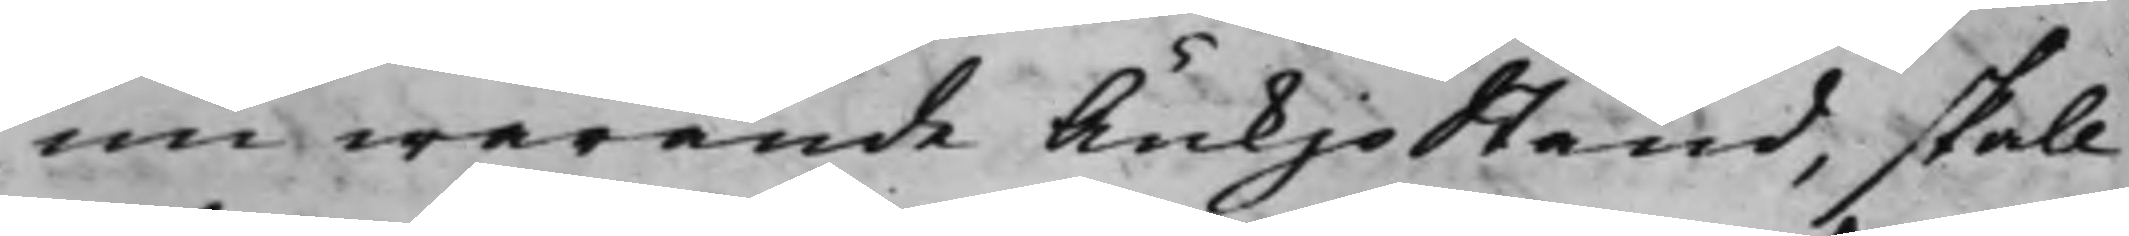nu warande Änkjostånd, skall
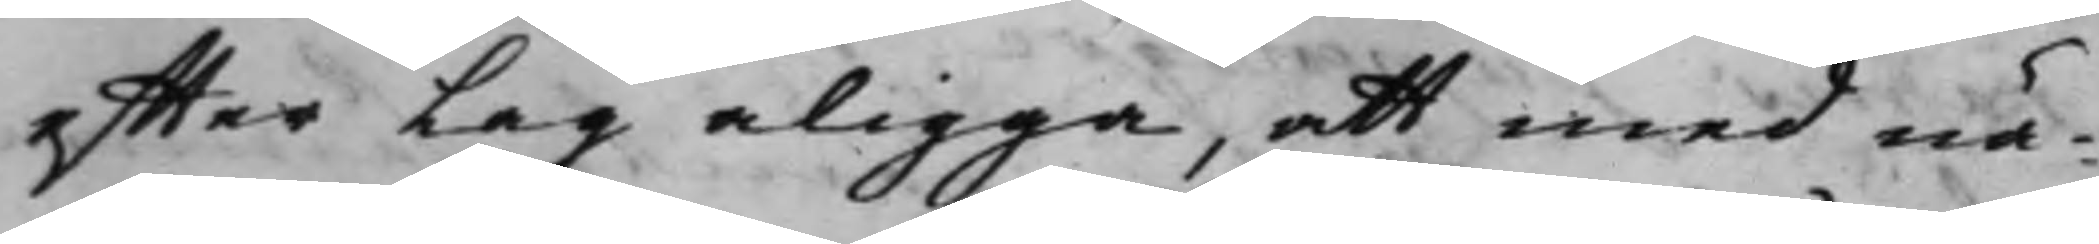effter Lag åligga, att med nä¬
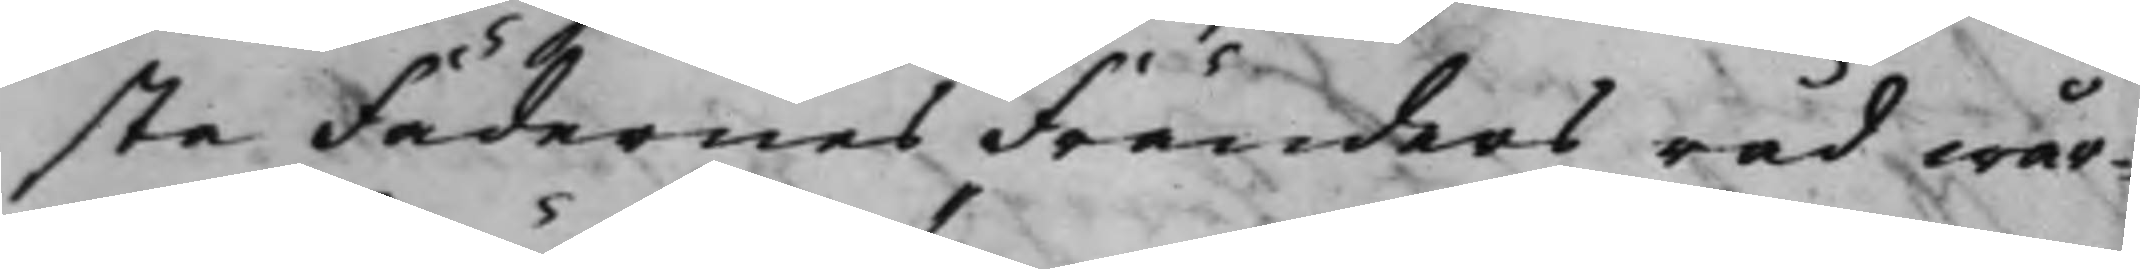sta Fädernes Fränders råd wår¬
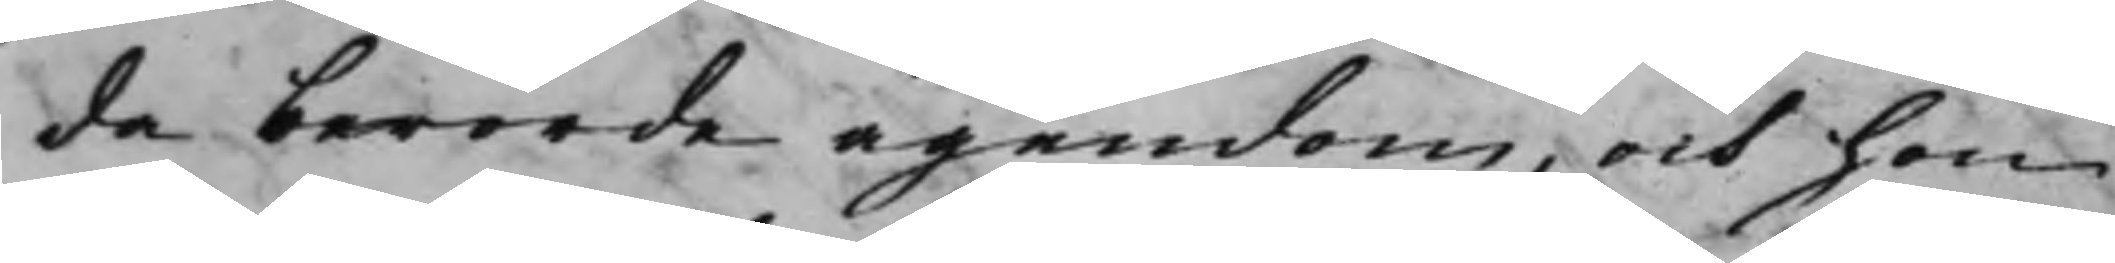da berörde ägendom, och hon
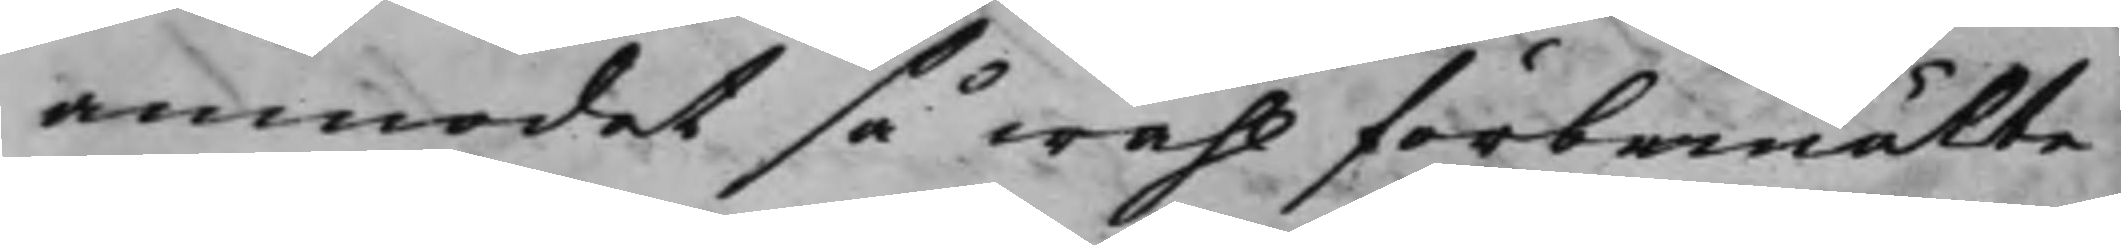anmodat så wähl förbemälte
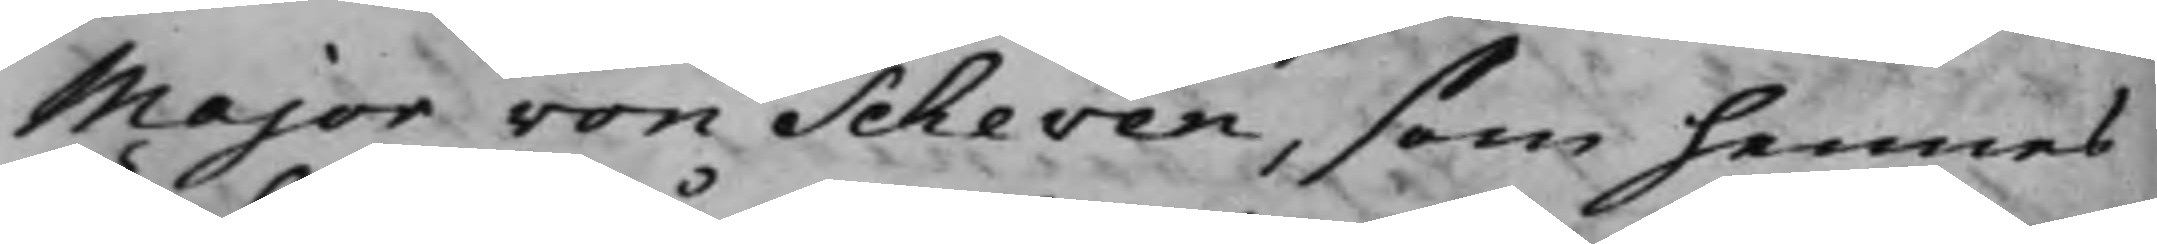Major von Scheven, som hennes
